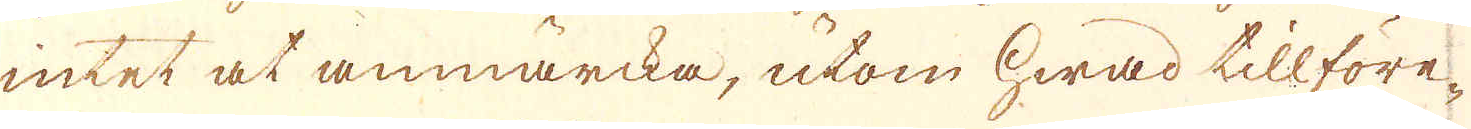intet at anmärcka, utom hwad tillföre-
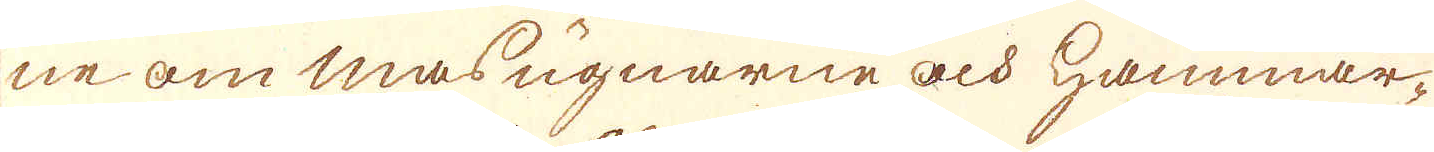ne om masugnarne och Hammar-
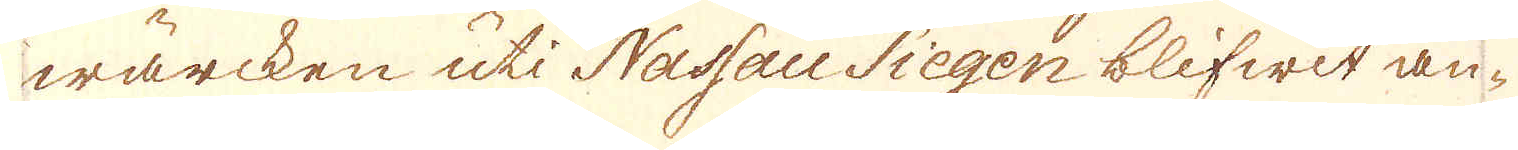wärcken uti Nassau Siegen blifwit an-
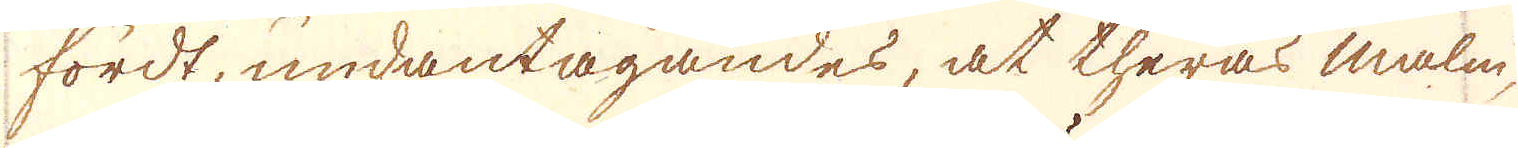fördt, undantagandes, at theras malm,
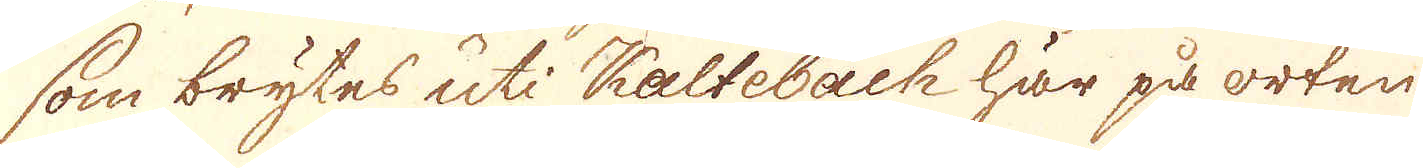som brytes uti Kaltebach här på orten
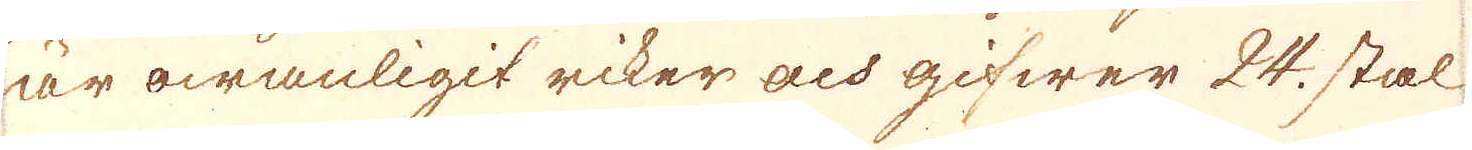är owanligit riker och gifwer 24. stal
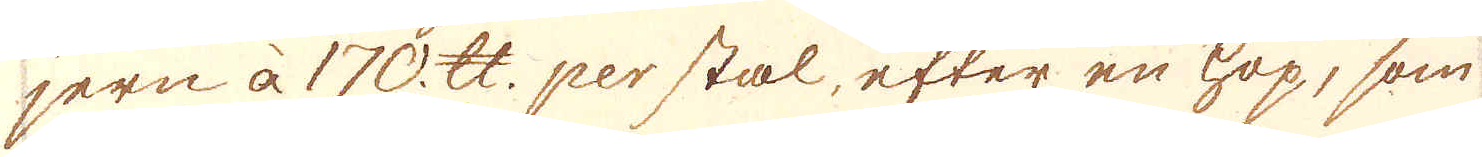jern à 170. skålpund. per stal, efter en hop, som
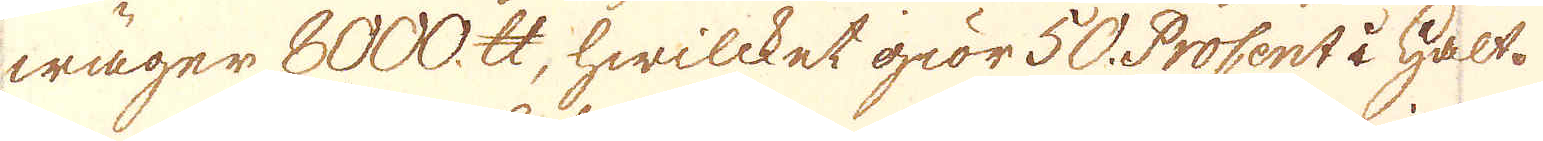wäger 8000. skålpund, hwilcket giör 50. ProCent i Halt.
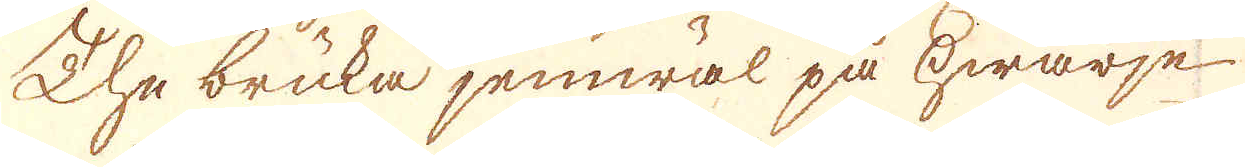The bruka jemwäl på hwarje
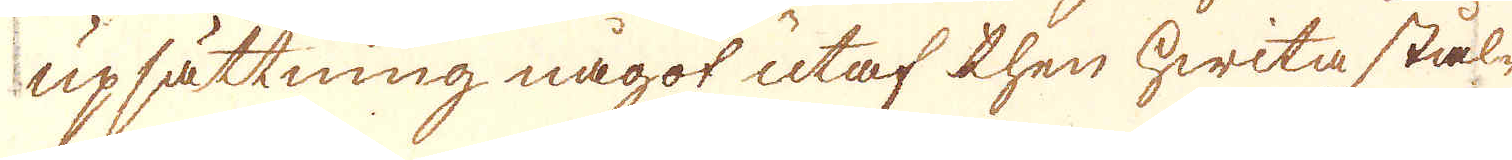upsättning något utaf then hwita stål-
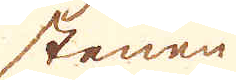stenen
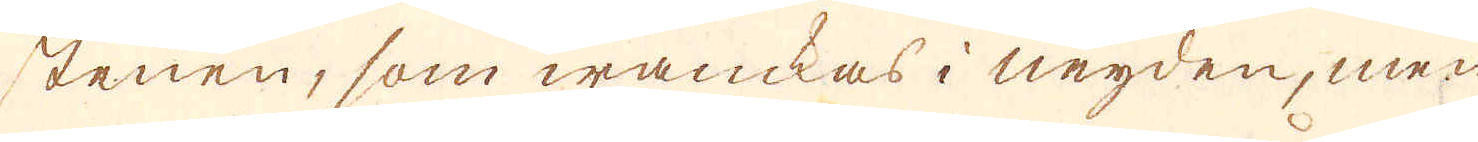stenen, som wanckas i neyden, men
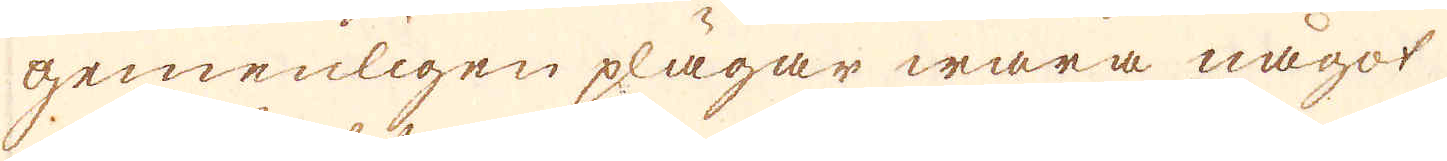gemenligen plägar wara något
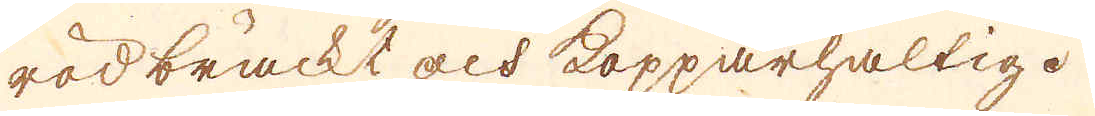rödbräckt och kopparhaltige.
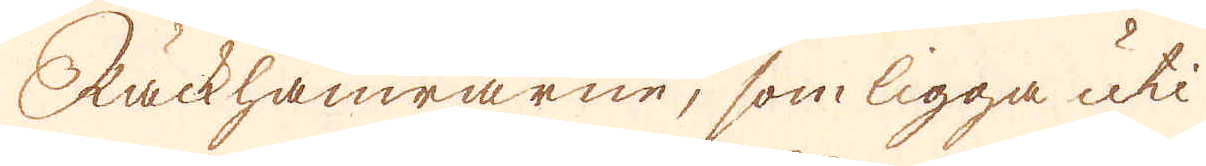Räckhamrarne, som ligga uti
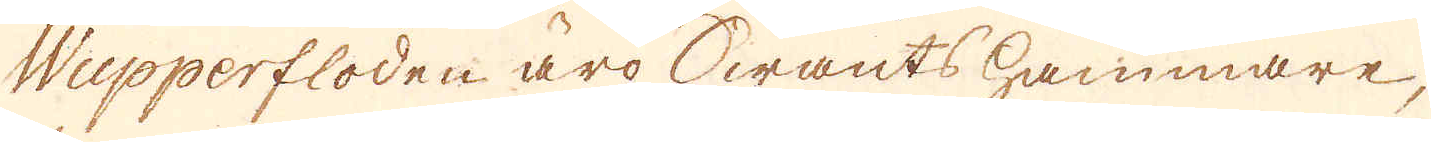Wupperfloden äro Swants hammare,
